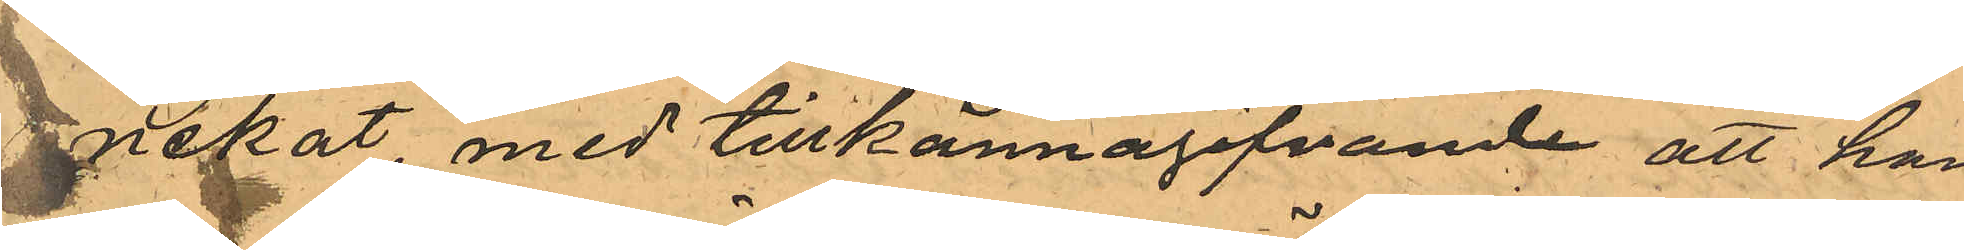nekat med tillkännagifvande att han
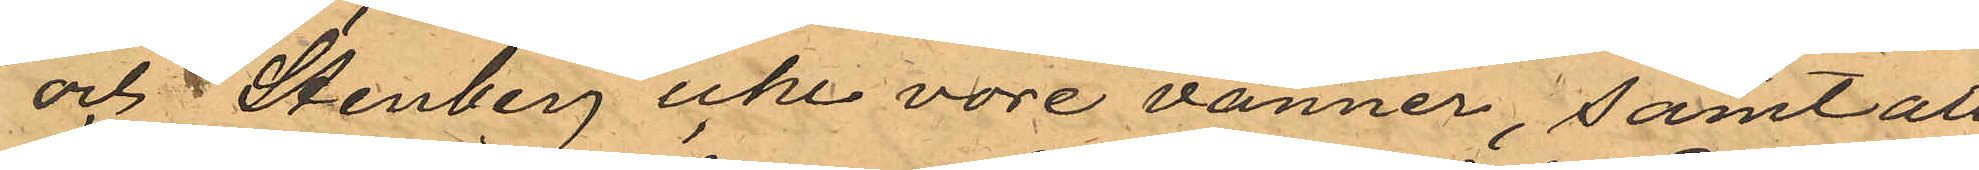och Stenberg icke vore vänner, samt att
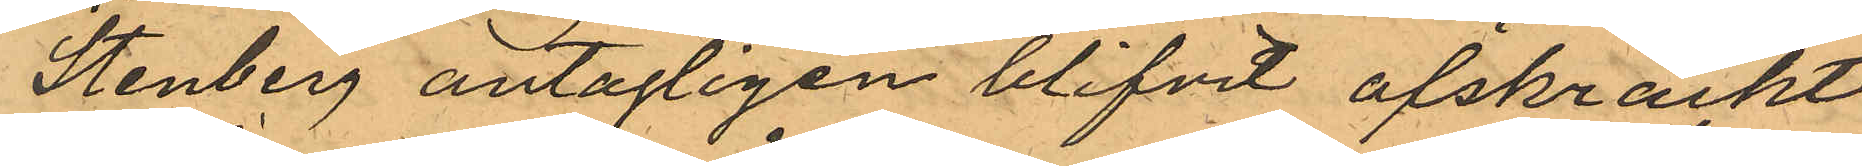Stenberg antagligen blifvit afskräckt
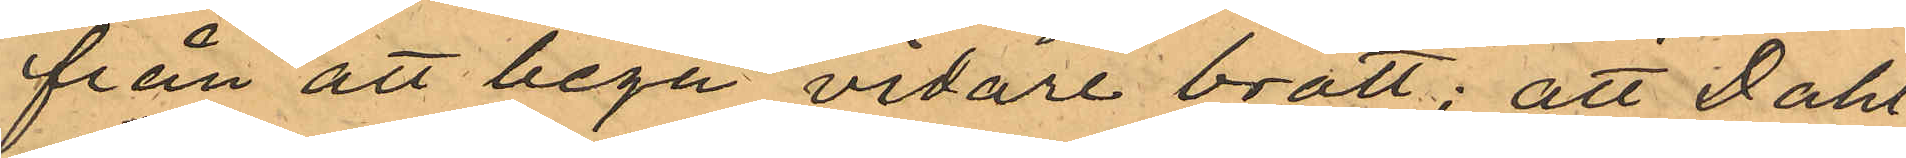från att begå vidare brott; att Dahl¬
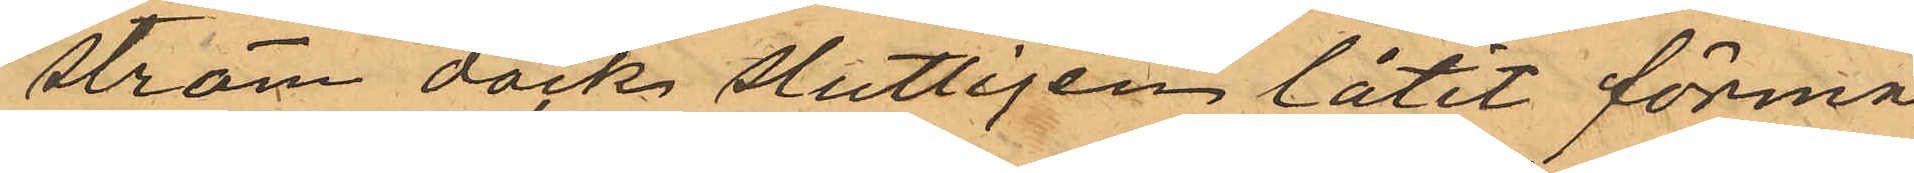ström dock slutligen låtit förmå
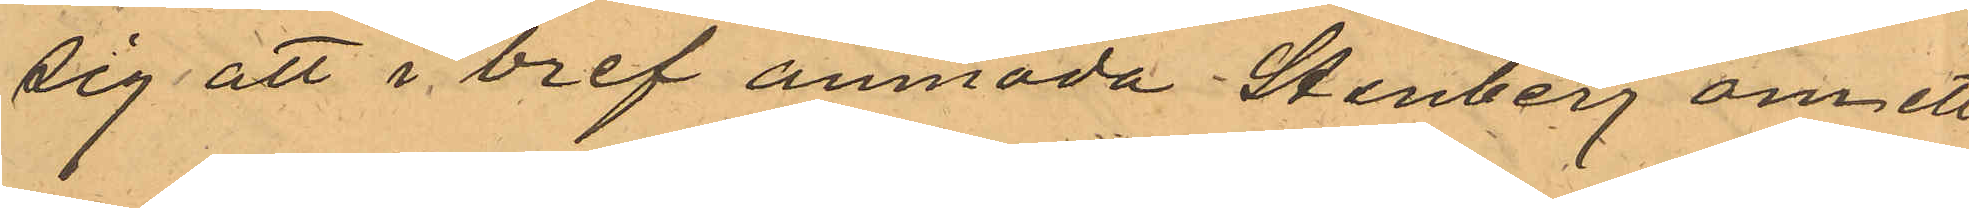sig att i bref anmoda Stenberg om ett
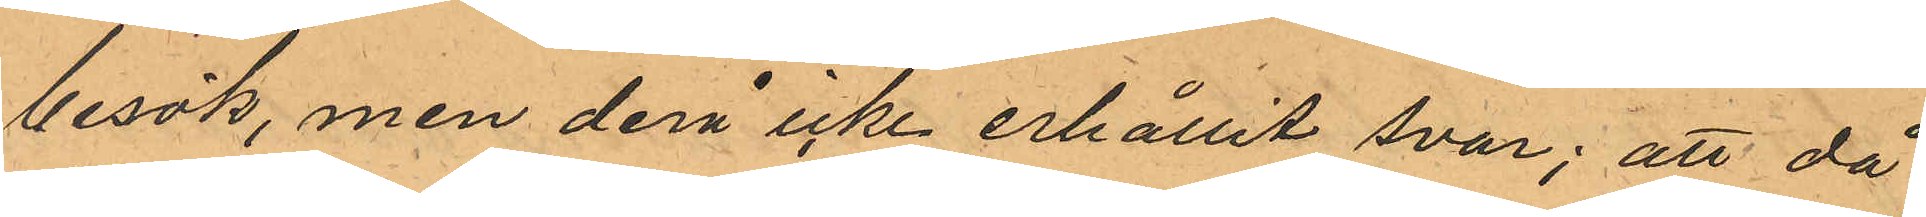besök, men derå icke erhållit svar; att då
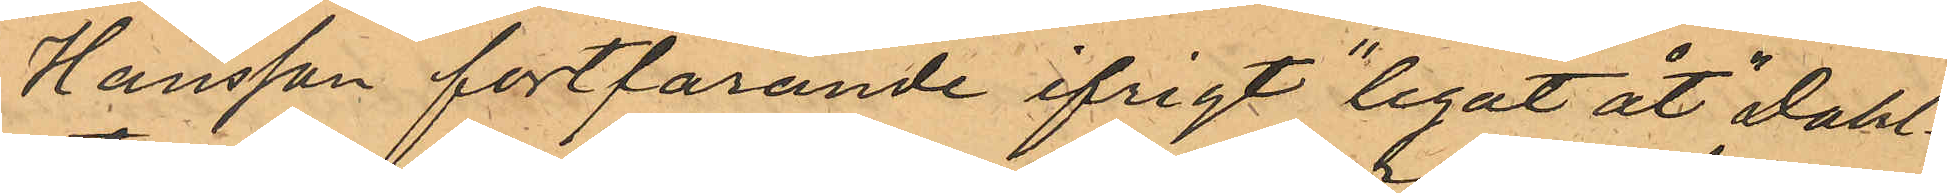Hansson fortfarande ifrigt "legat åt" Dahl¬
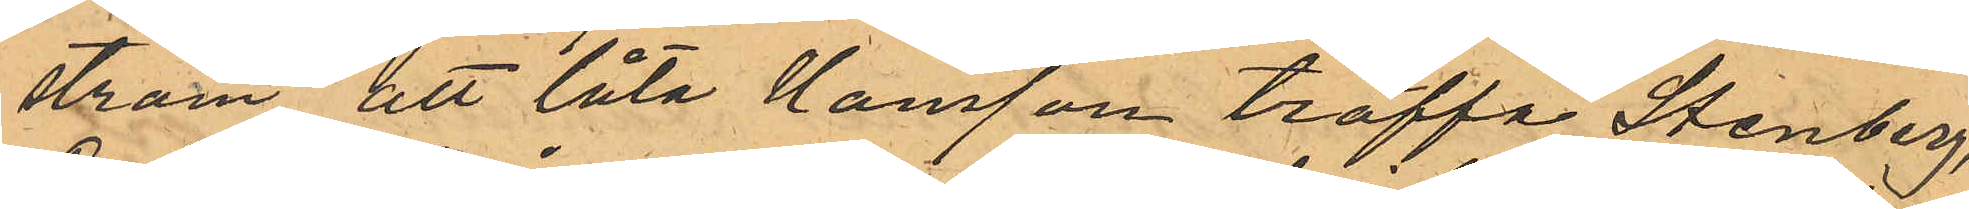ström att låta Hansson träffa Stenberg,
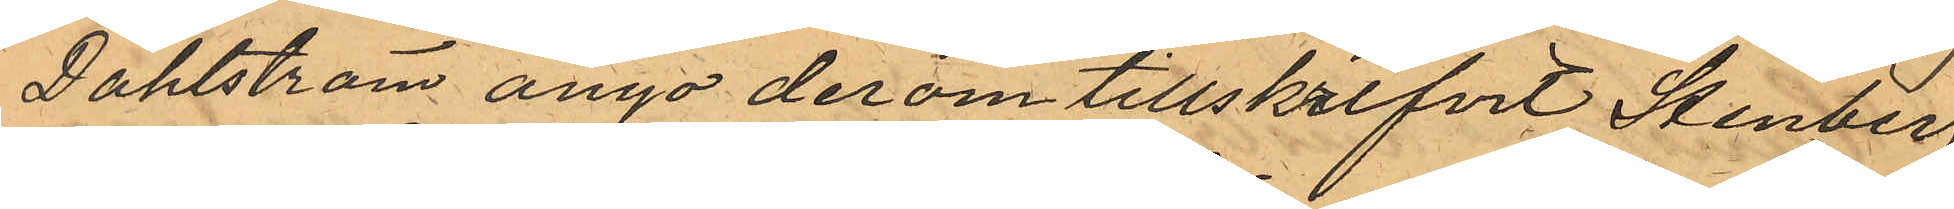Dahlström ånyo derom tillskrifvit Stenberg,
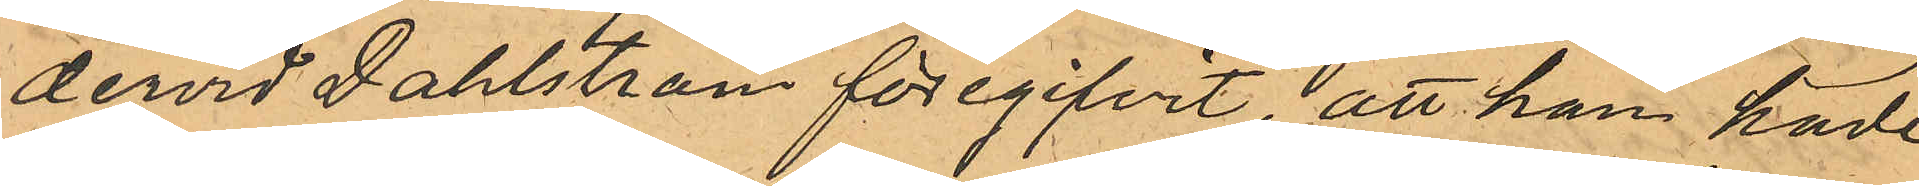dervid Dahlström föregifvit, att han hade
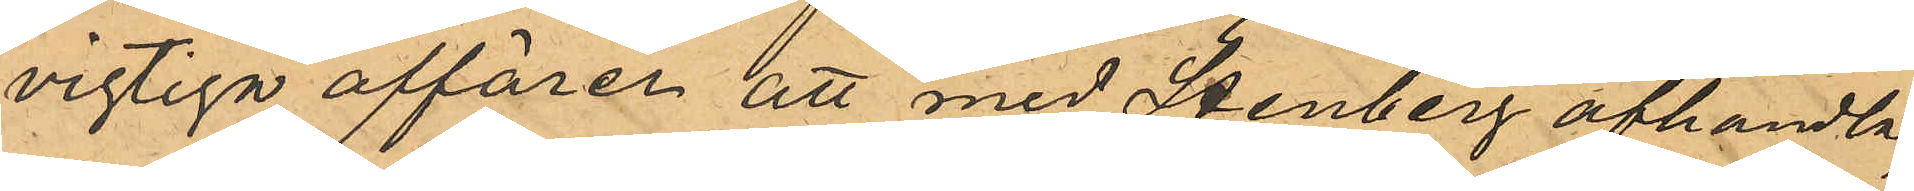vigtiga affärer att med Stenberg afhandla;
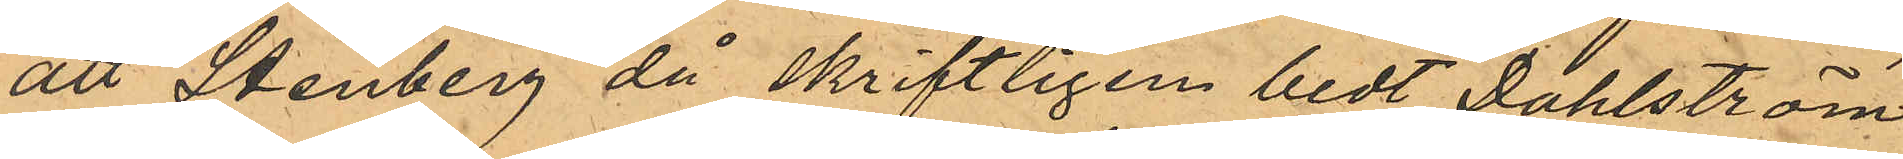att Stenberg då skriftligen bedt Dahlström
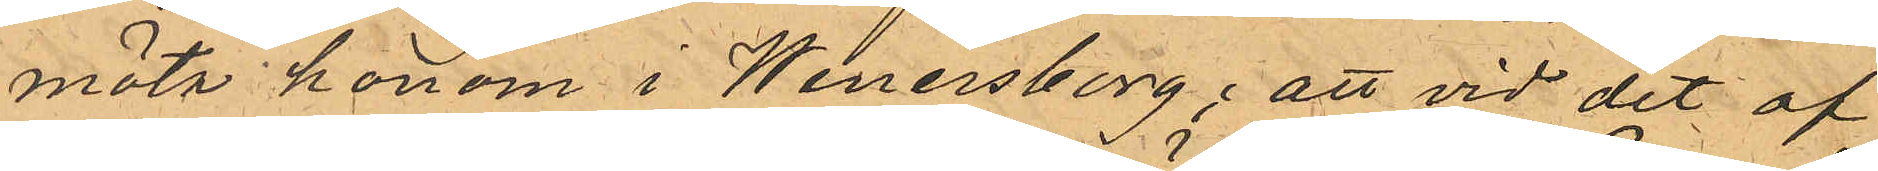möts honom i Wenersborg; att vid det af
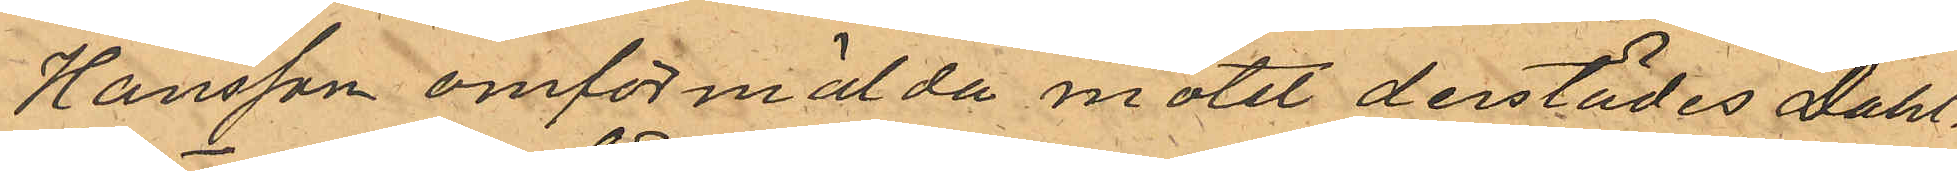Hansson omförmälda mötet derstädes Dahl¬
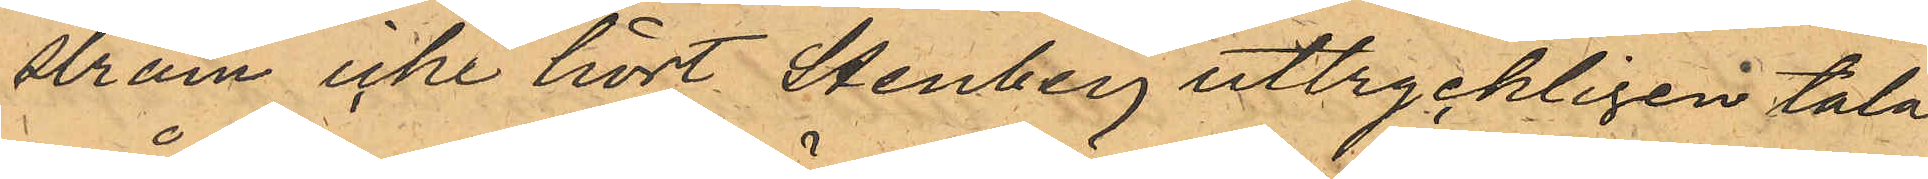ström icke hört Stenberg uttryckligen tala
